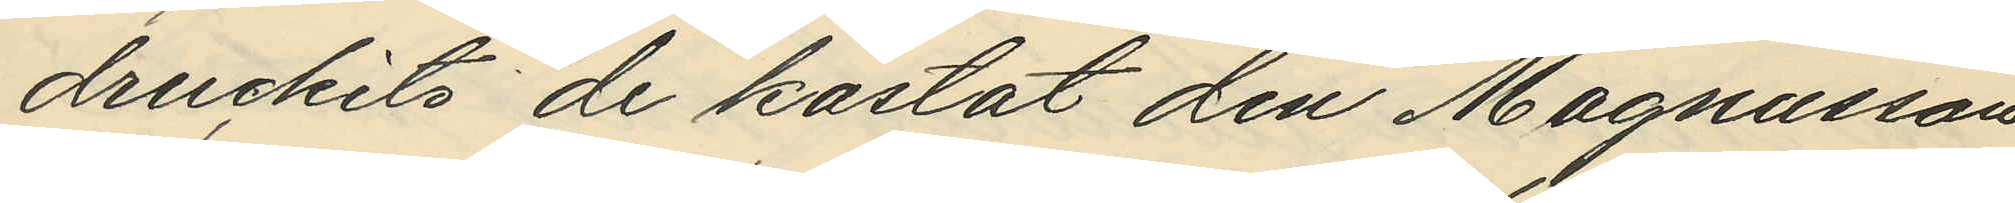druckits de kastat den Magnusson
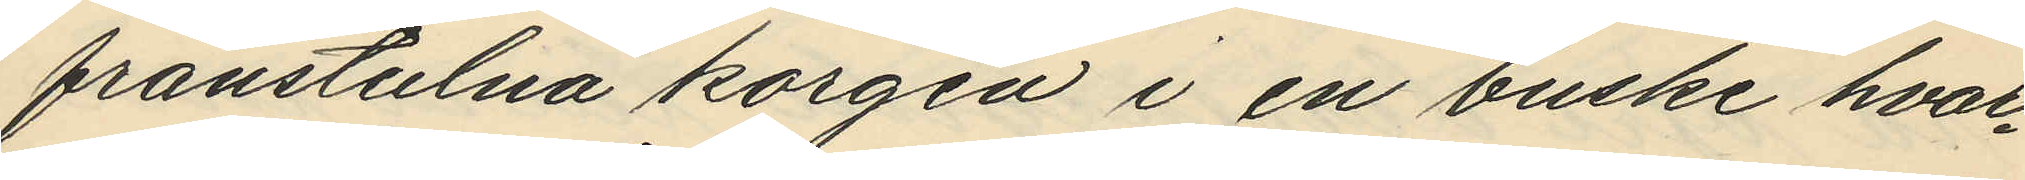frånstulna korgen i en buske hvar¬
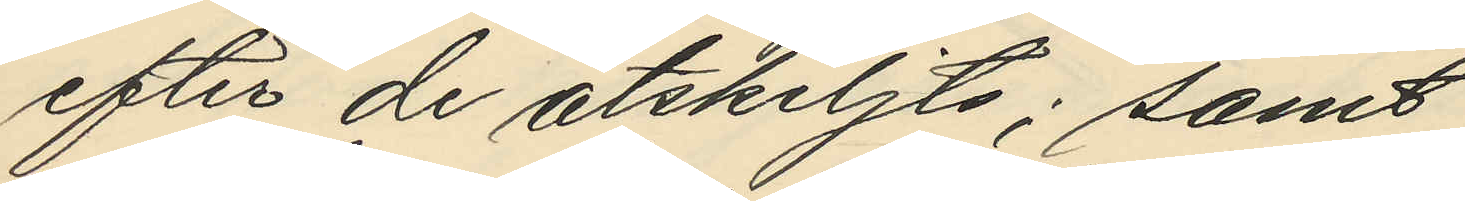efter de åtskiljts; samt
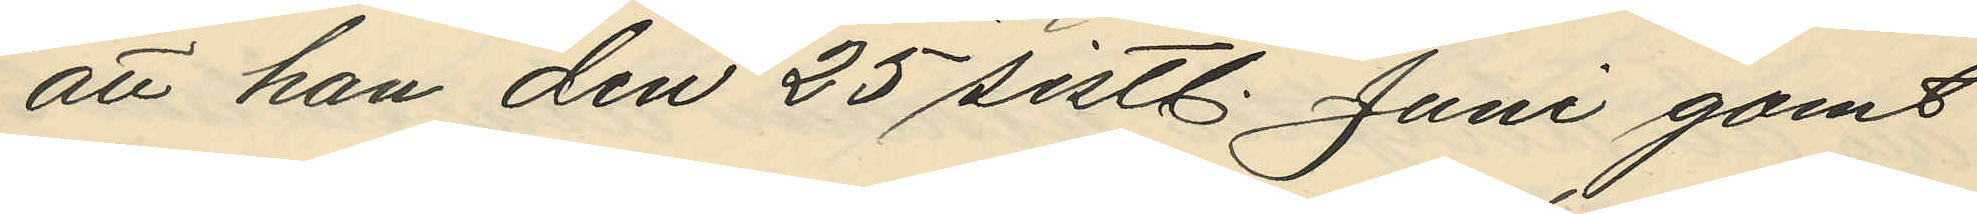att han den 25 sistl. Juni gomt
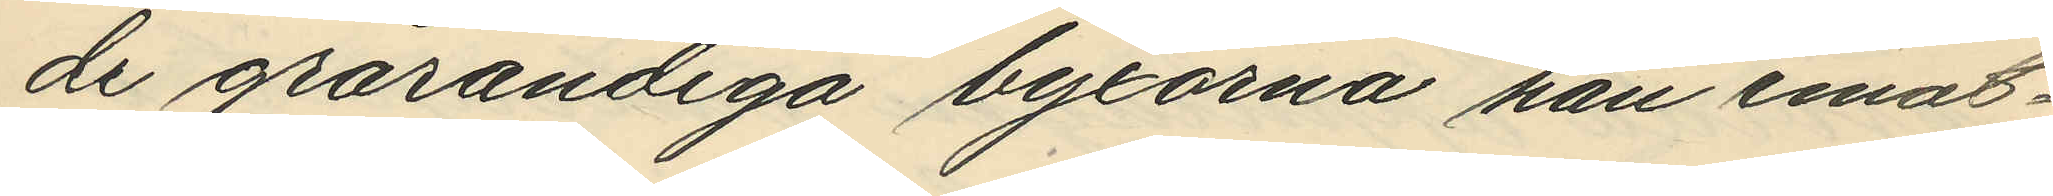de grårandiga byxorna han emot¬
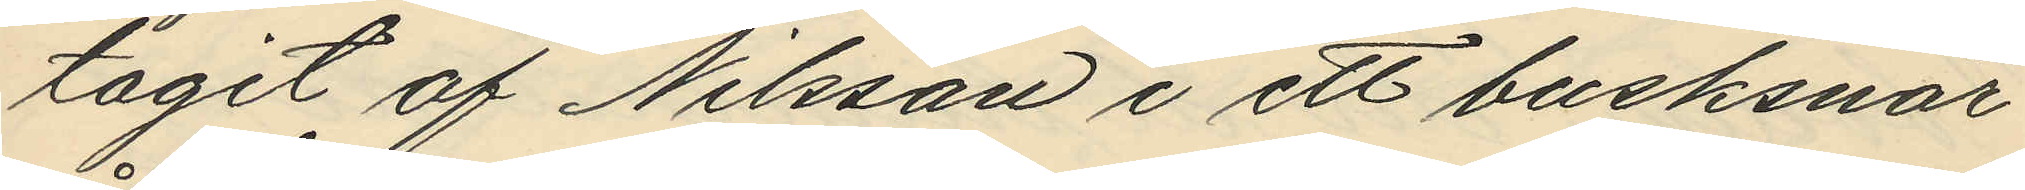tagit af Nilsson i ett busksnår
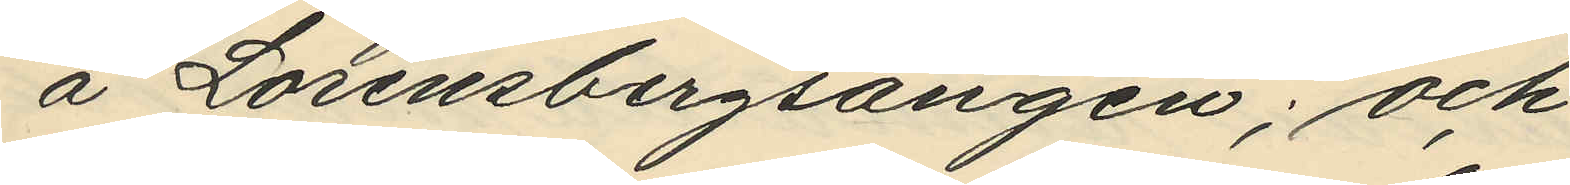å Lorensbergsängen; och
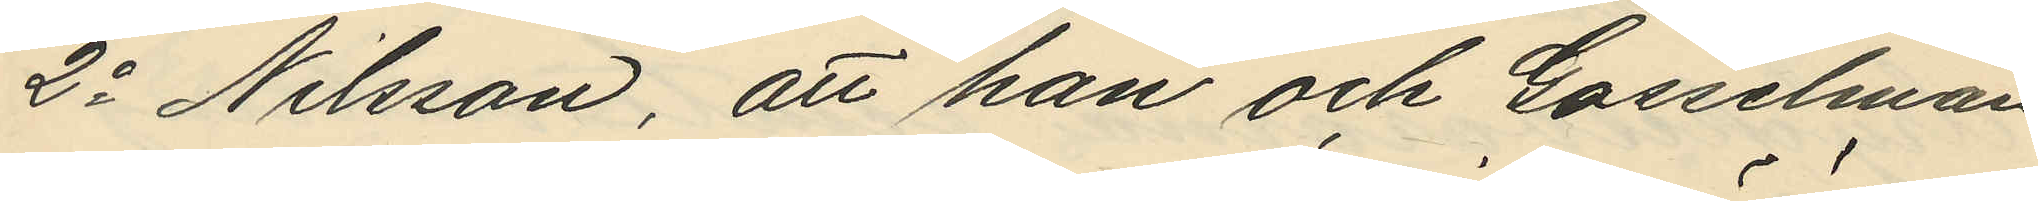2o Nilsson, att han och Gosselman
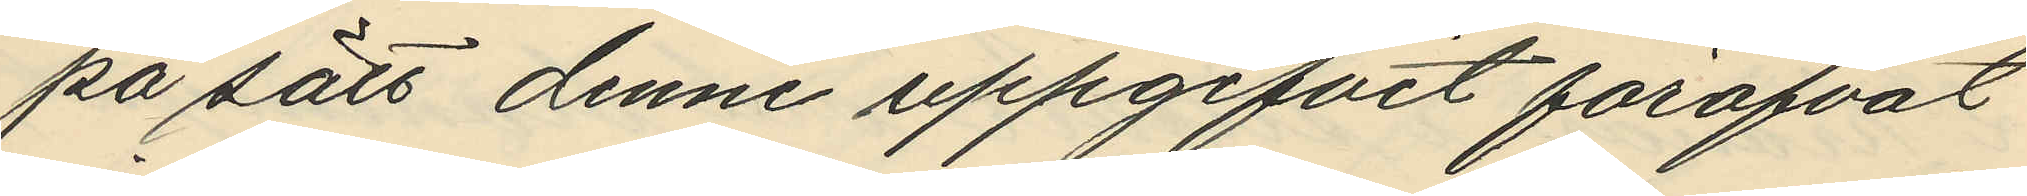på sätt denne uppgifvit föröfvat
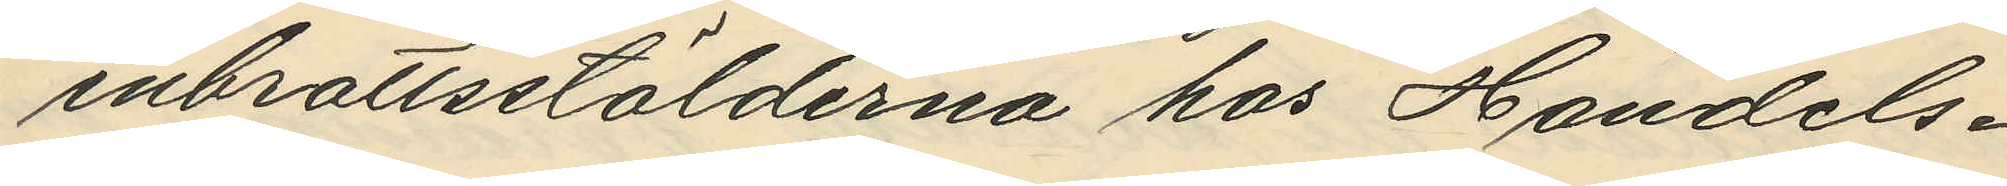inbrottsstölderna hos Handels¬
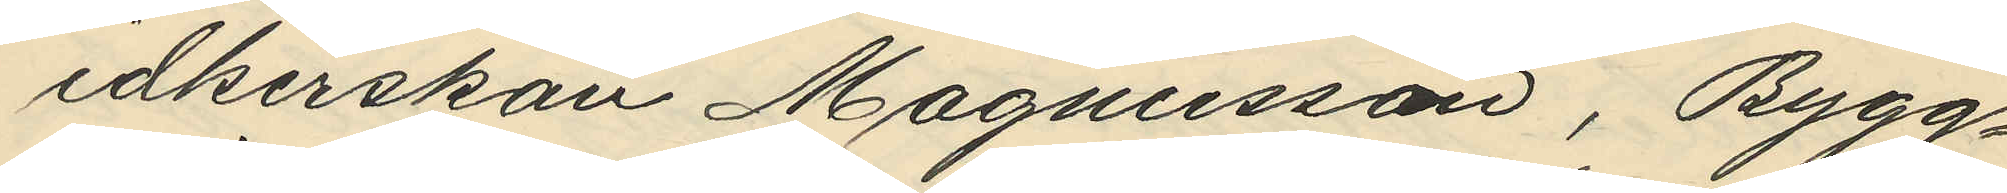idkerskan Magnusson, Bygg¬
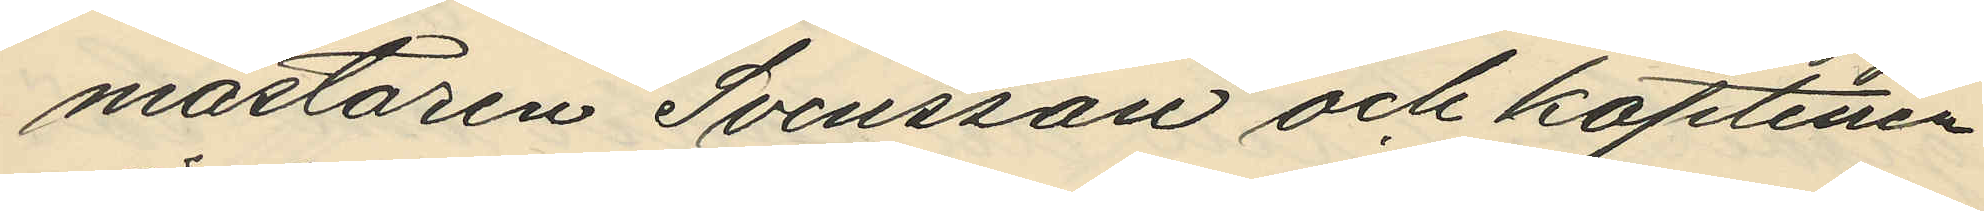mästaren Svensson och kaptenen
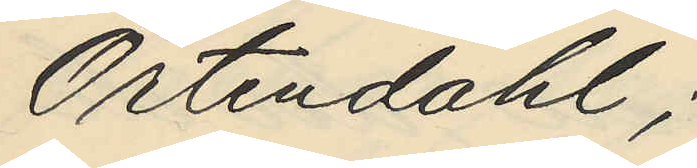Örtendahl;
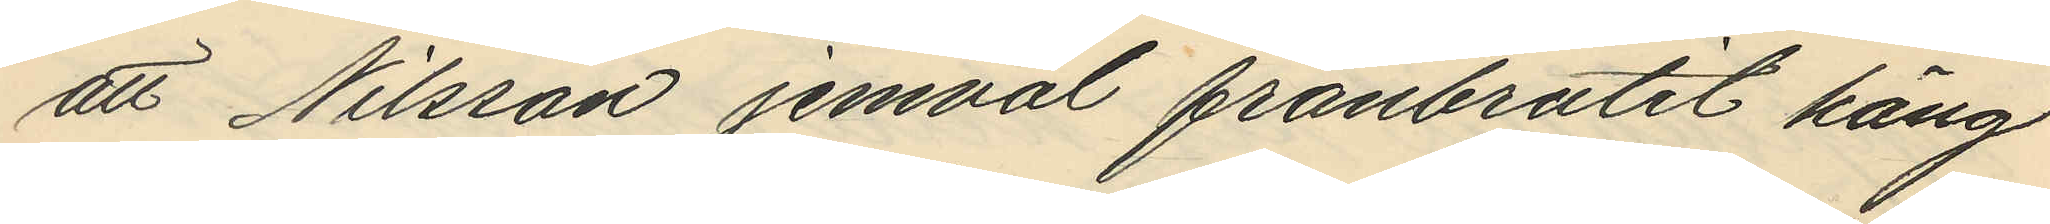att Nilsson jemväl frånbrutit häng
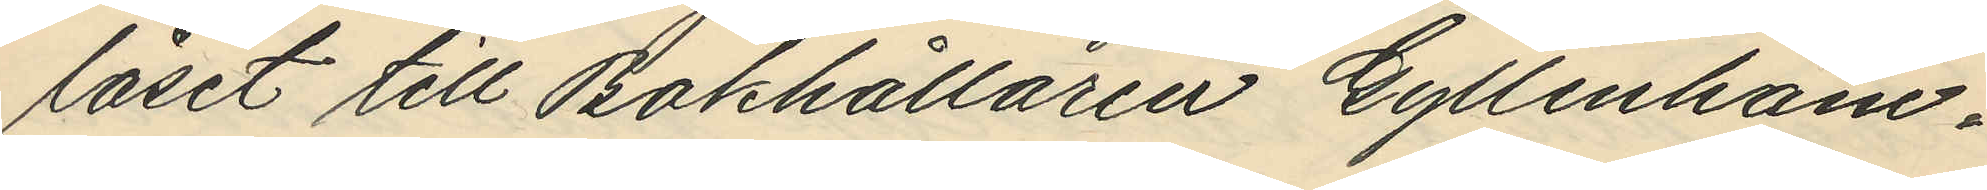låset till Bokhållaren Gyllenham¬
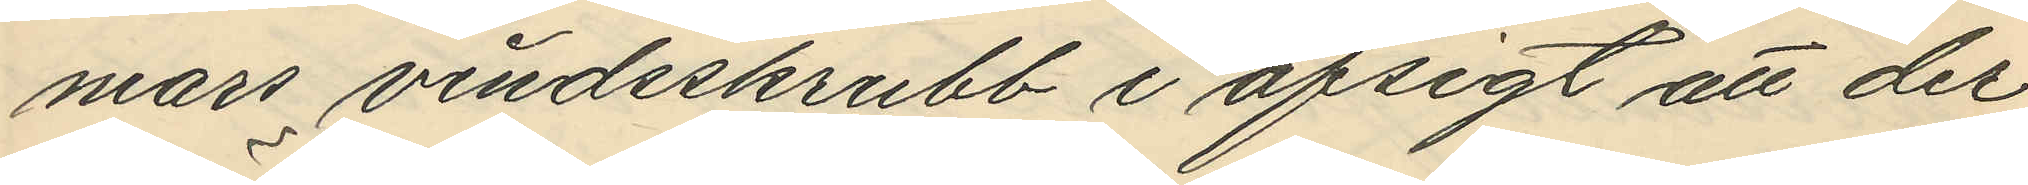mars vindsskrubb i afsigt att der
